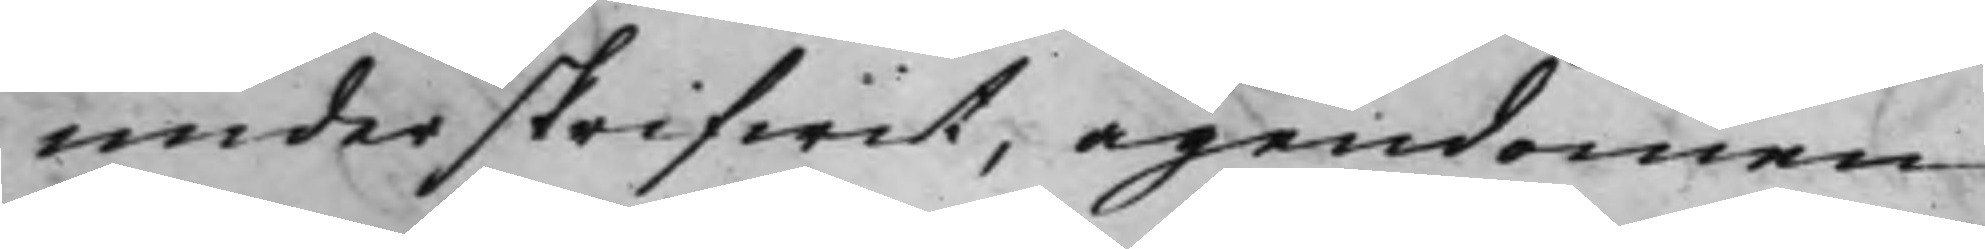underskrifwit, ägendomen
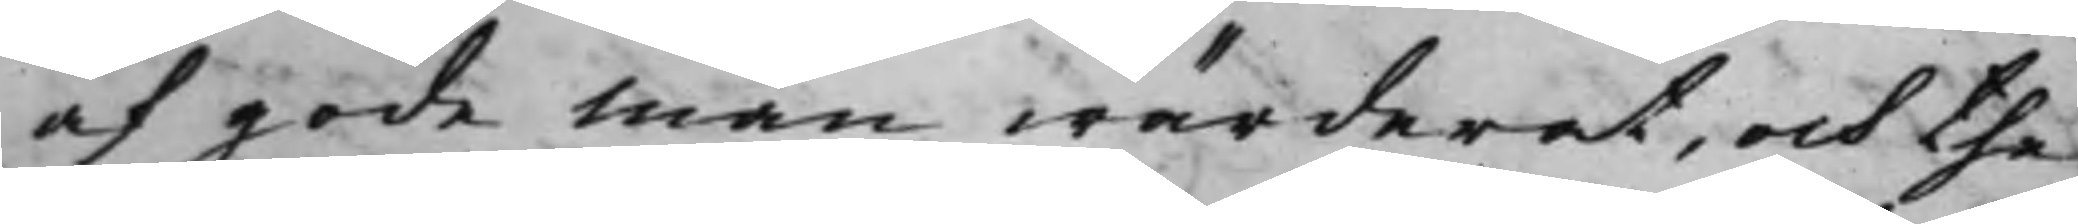af gode män wärderat, och the
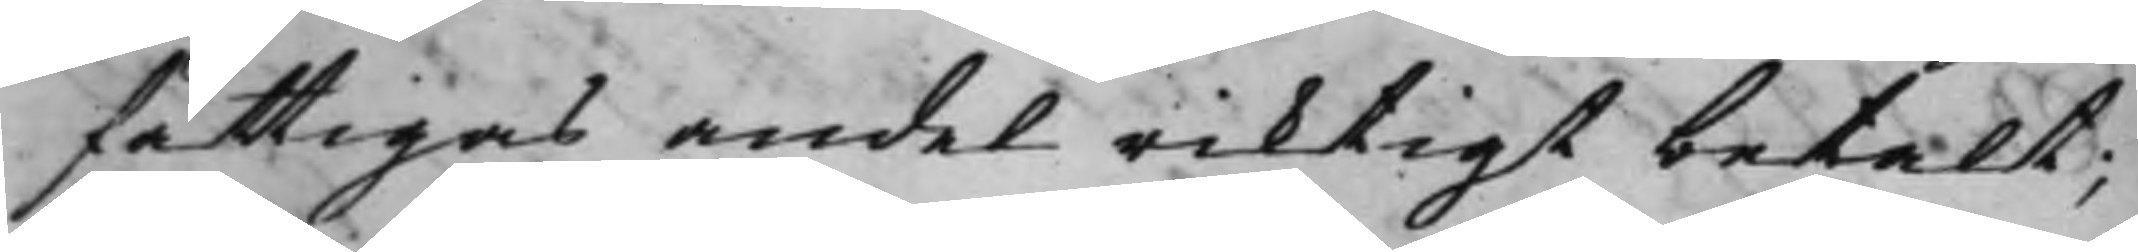fattigas andel riktigt betalt;
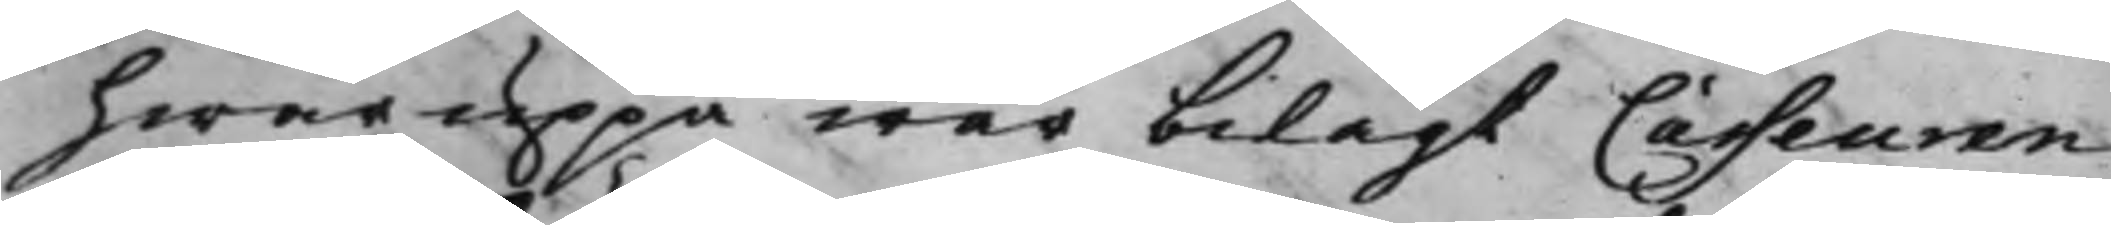hwaruppå war bilagt Casseuren
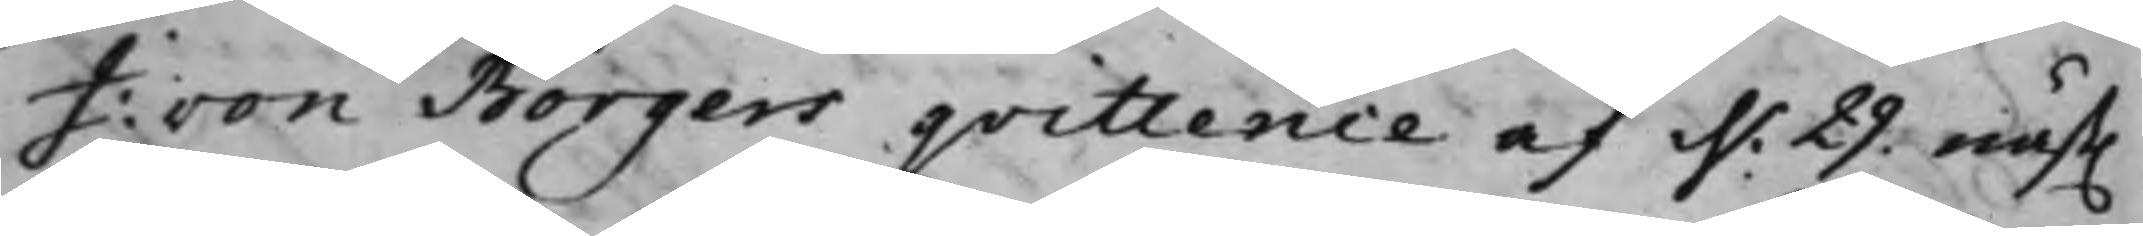I: von Börgers qvittence af d. 29. näst.
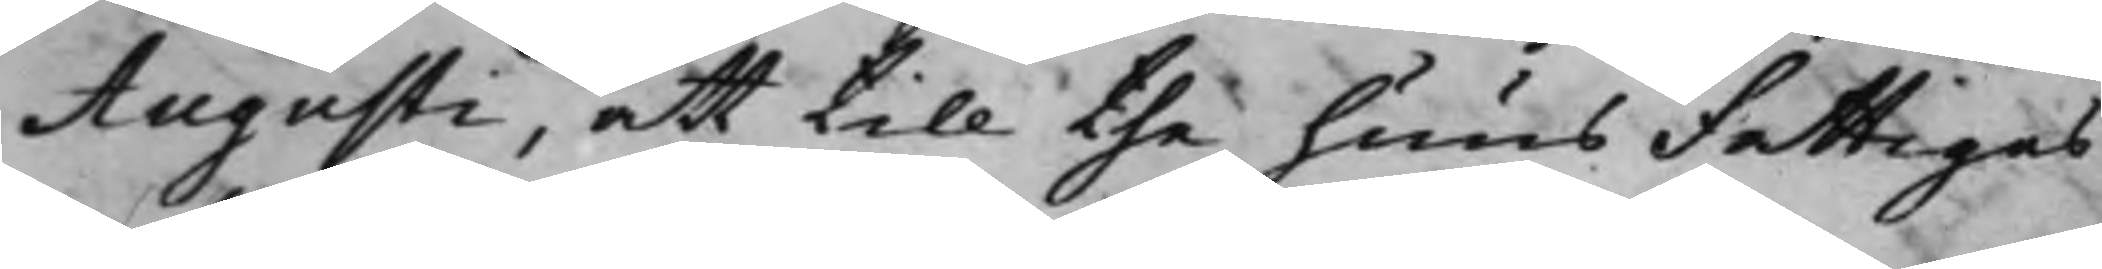Augusti, att till the huus fattigas
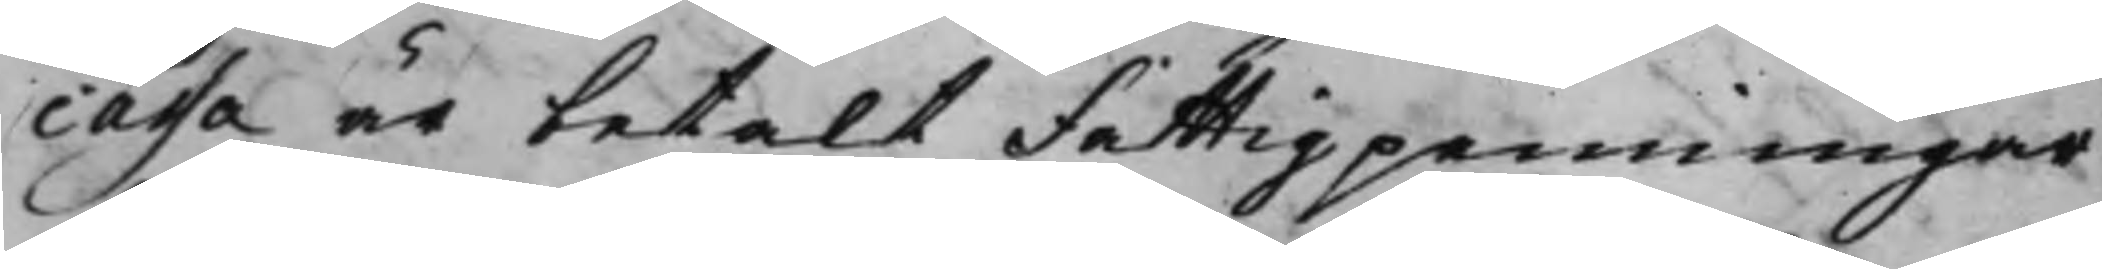cassa är betalt fattigpenningar
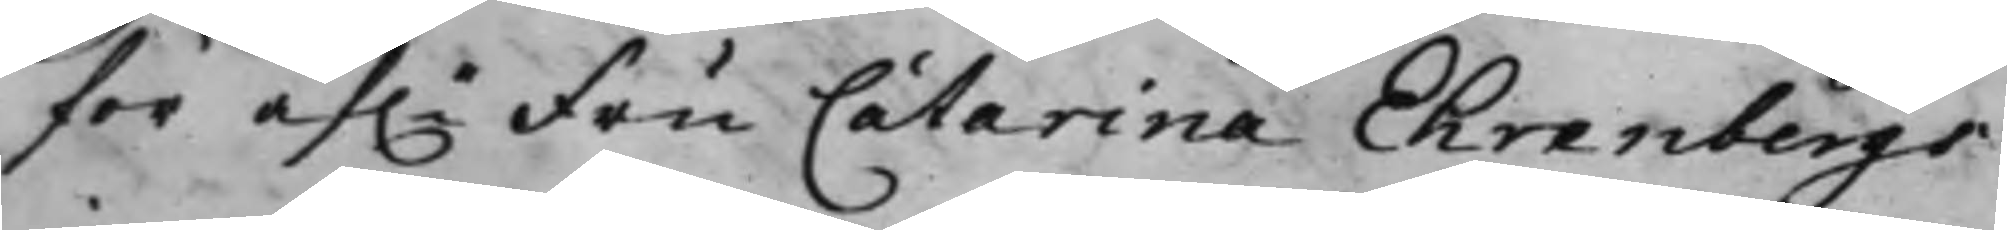för af.e Fru Catharina Ehrenbergs
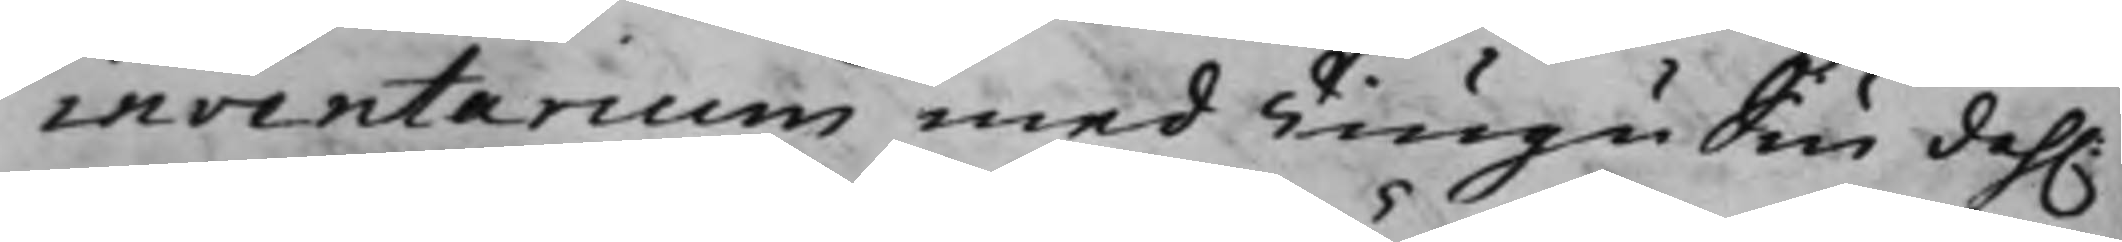inventarium med Tiugu Siu dah.r
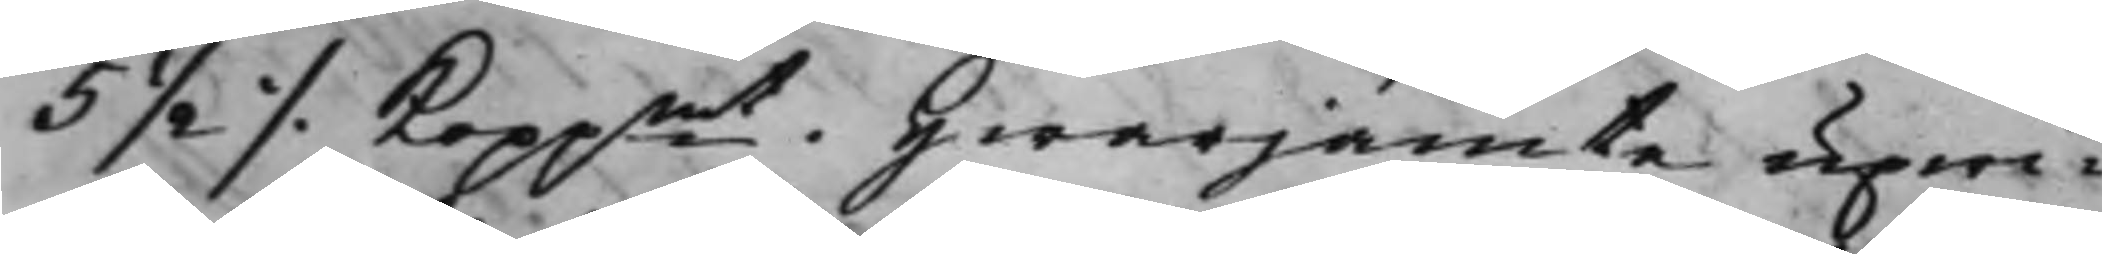5 ½ ./. Koppmt, hwarjämte upwi¬
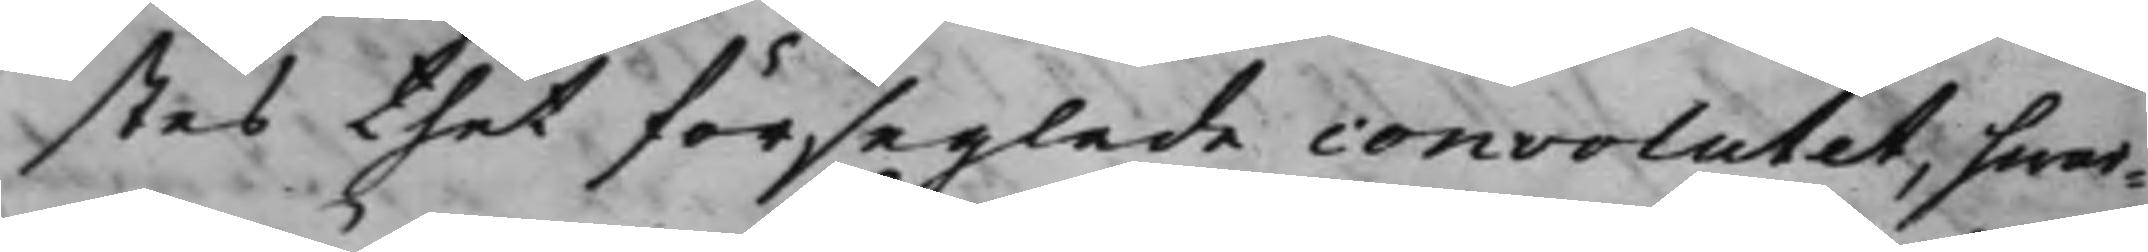stes thet förseglade convolutet, hwar¬
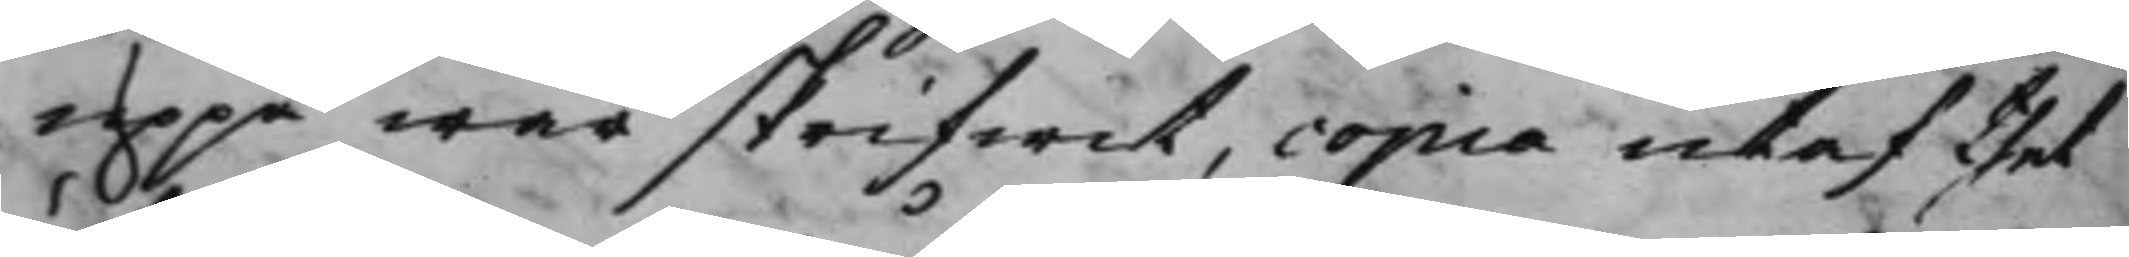uppå war skrifwet, copia utaf thet
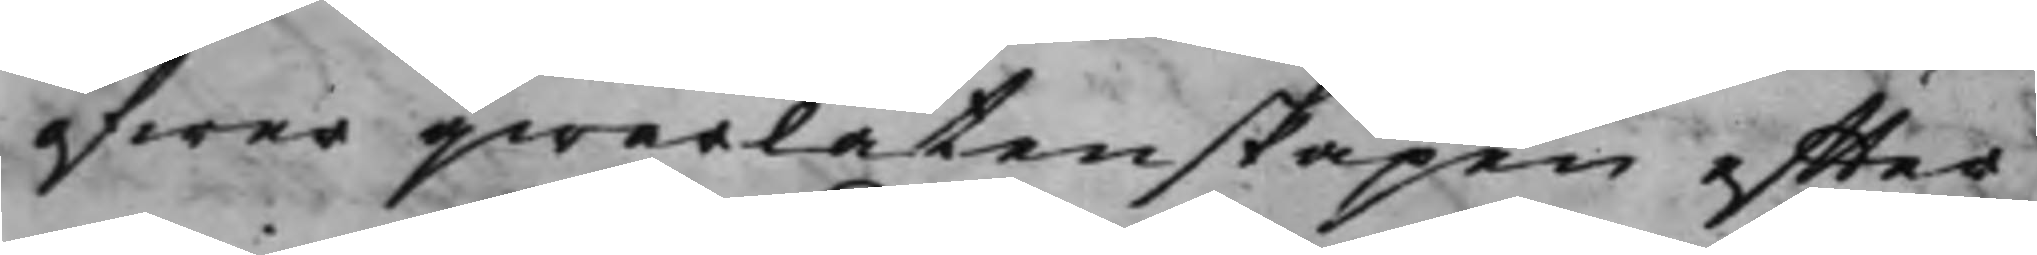öfwer qwarlåtenskapen effter
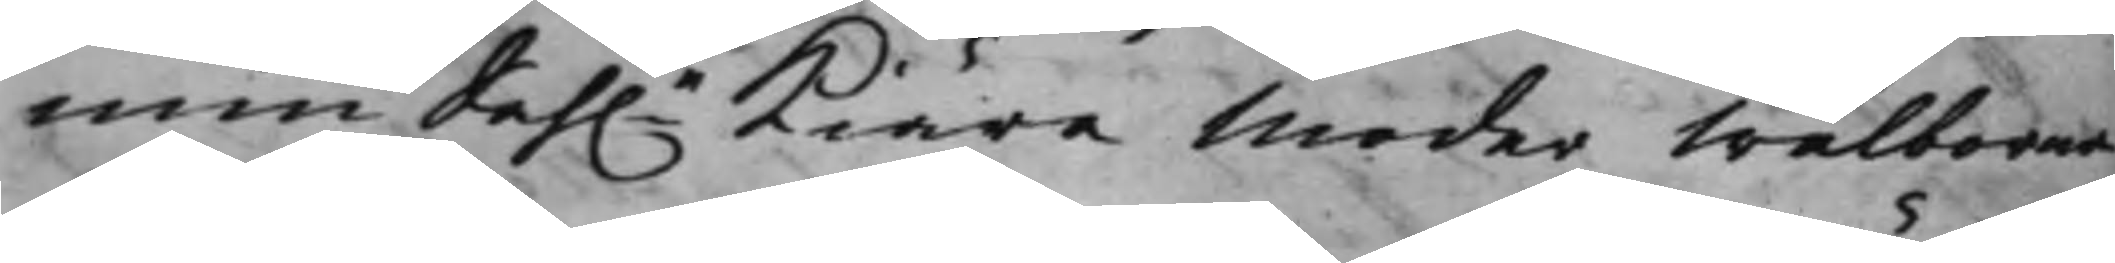min Sah.e Kiära Moder Wälborna
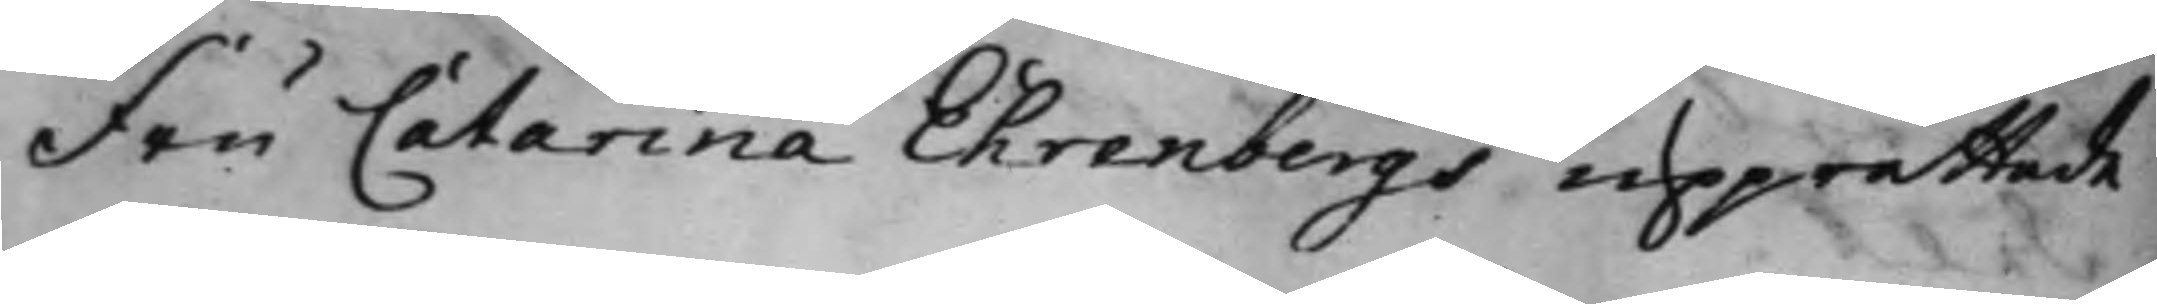Fru Catharina Ehrenbergs upprättade
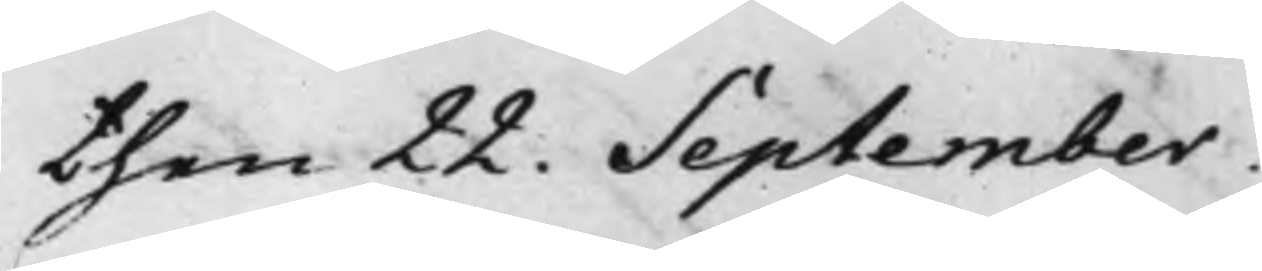then 22. September.
